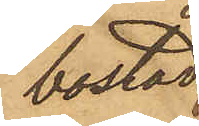bostad
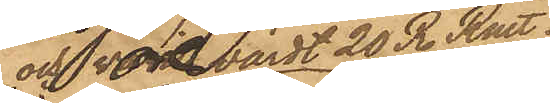och vore värdt 20 R. Rmt;
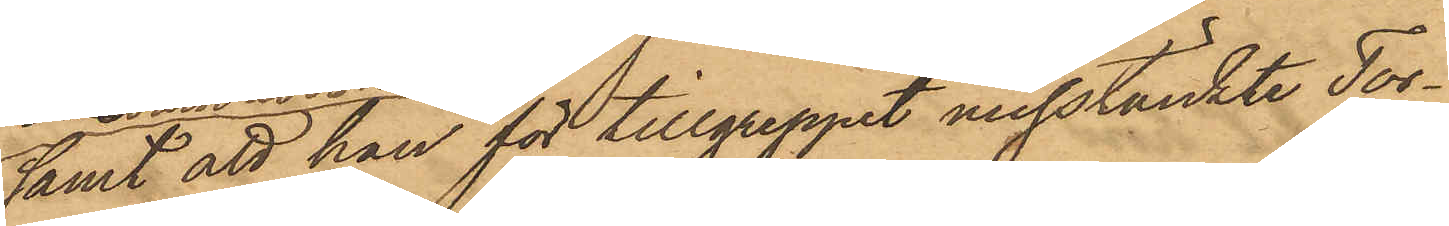samt att han för tillgreppet misstänkte Tor¬
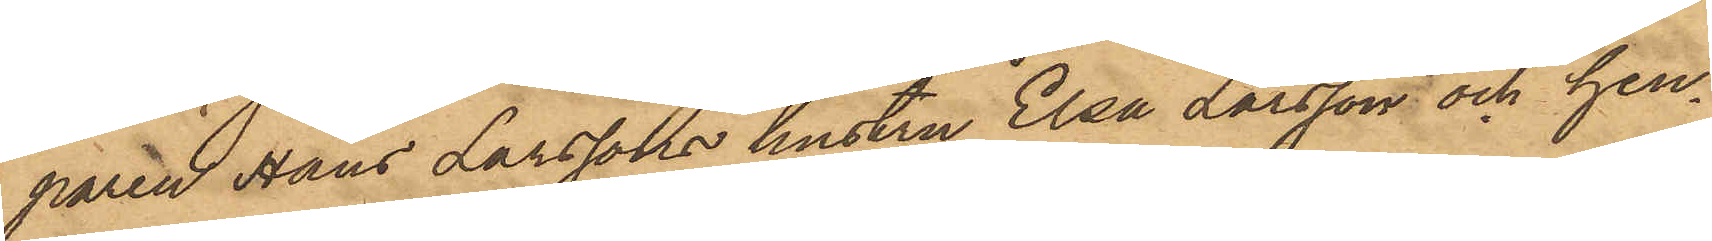paren Hans Larssons hustru Elsa Larsson och hen¬
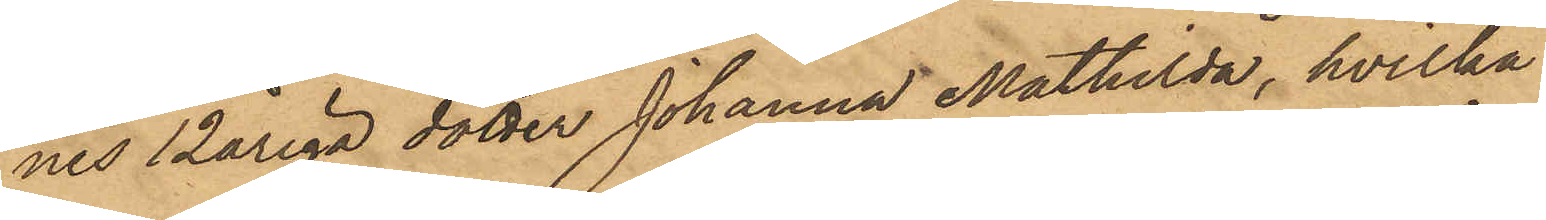nes 12åriga dotter Johanna Mathilda, hvilka
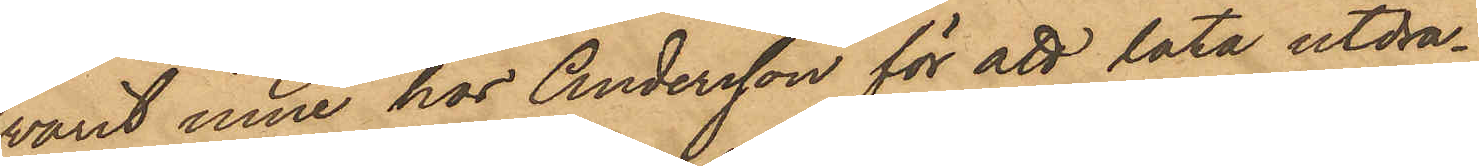varit inne hos Andersson för att låta utdra¬
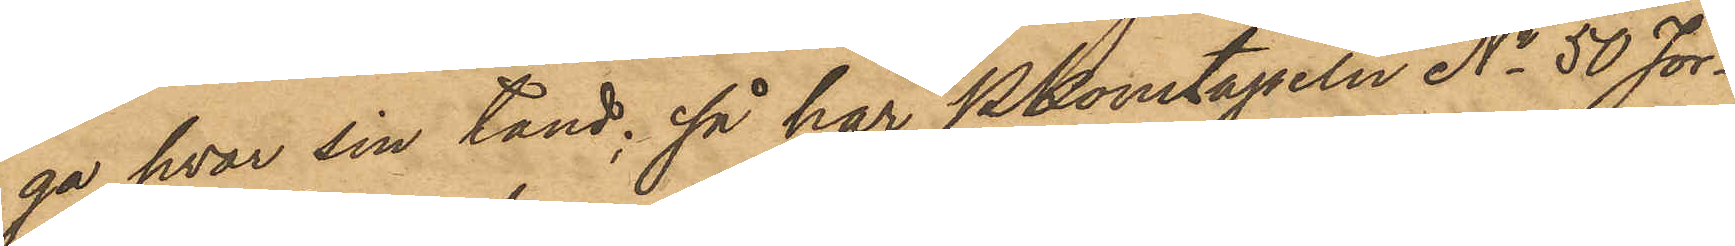ga hvar sin tand; så har PKonstapeln No 50 Jör¬
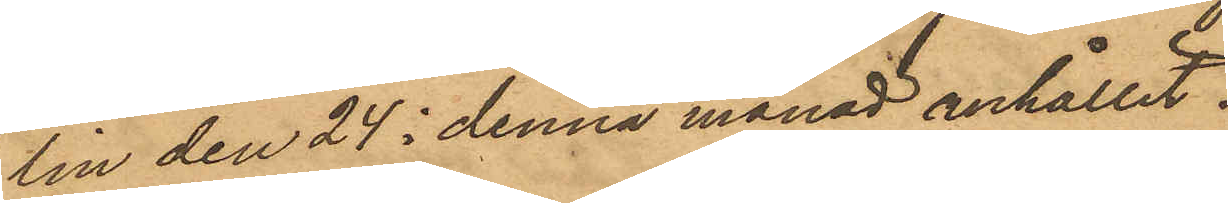lin den 24 i denna månad anhållit
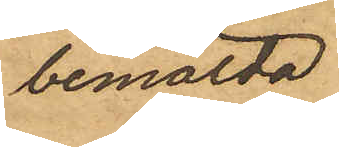bemälda
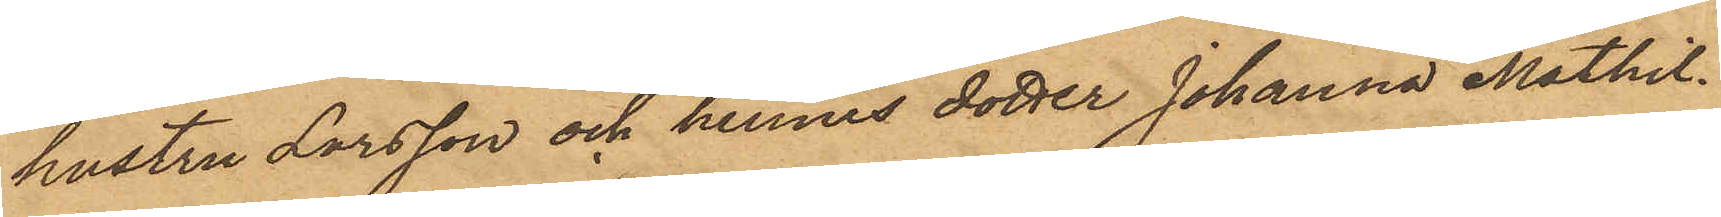hustru Larsson och hennes dotter Johanna Mathil¬
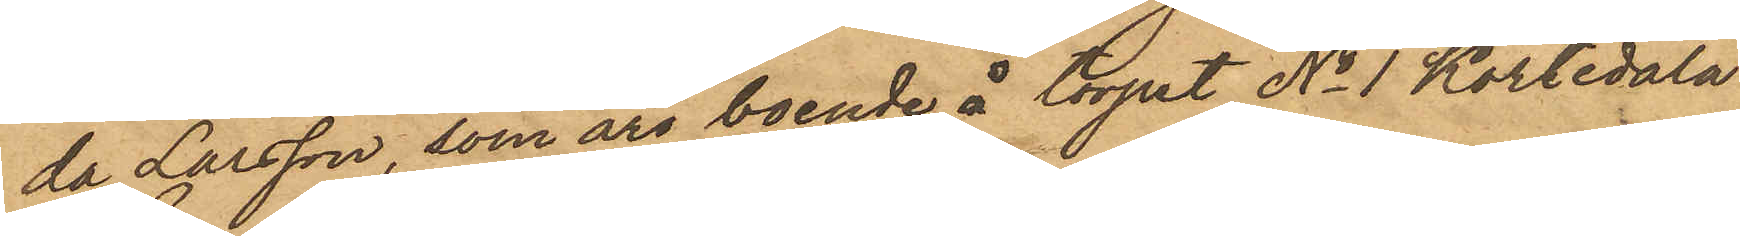da Larsson, som äro boende å torpet No 1 Kortedala
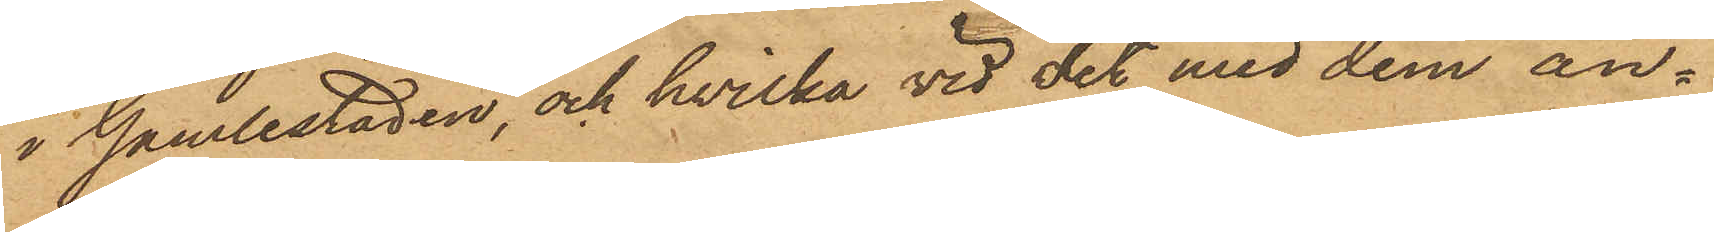i Gamlestaden, och hvilka vid det med dem an¬
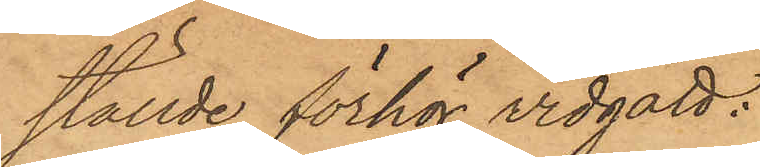ställde förhör vidgått:
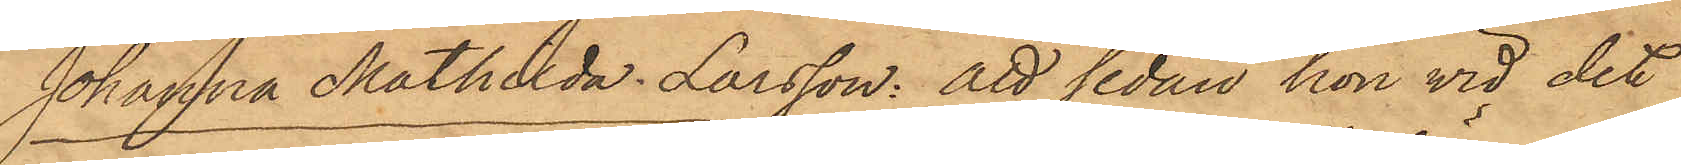Johanna Mathilda Larsson: att sedan hon vid det
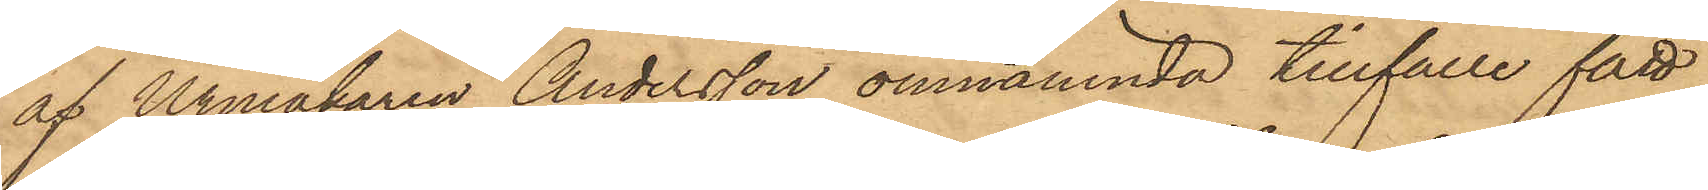af Urmakaren Andersson omnämnda tillfälle fått
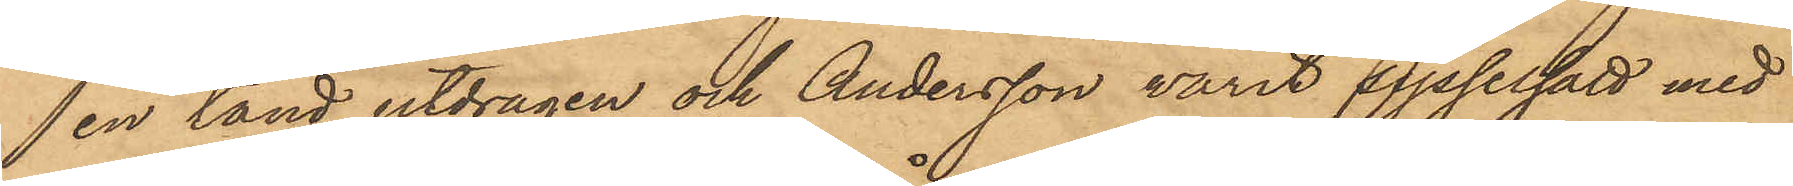en tand utdragen och Andersson varit sysselsatt med
